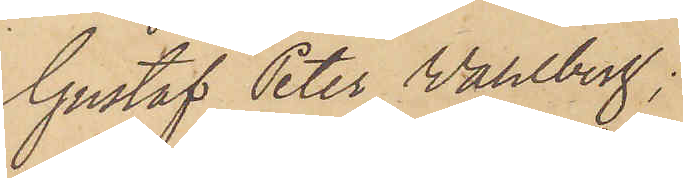Gustaf Peter Wahlberg;
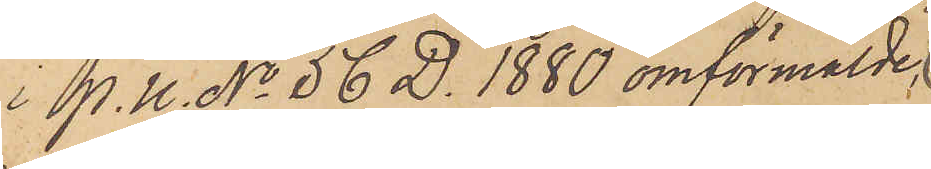i P. U. No 56 D. 1880 omförmälde
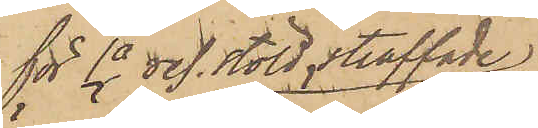för 1a res. stöld straffade
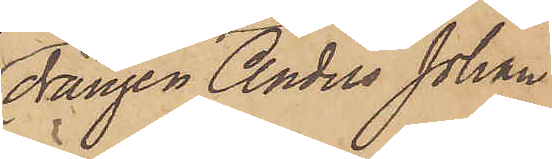drängen Anders Johan
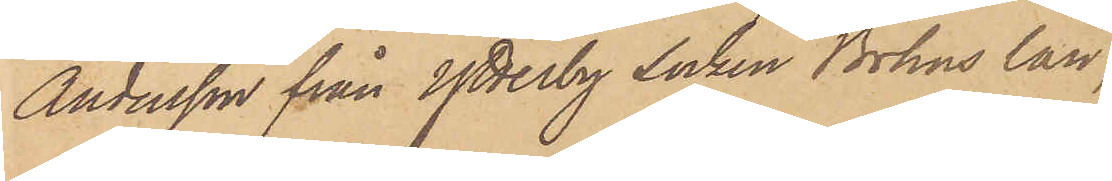Andersson från Ytterby socken Bohus län;
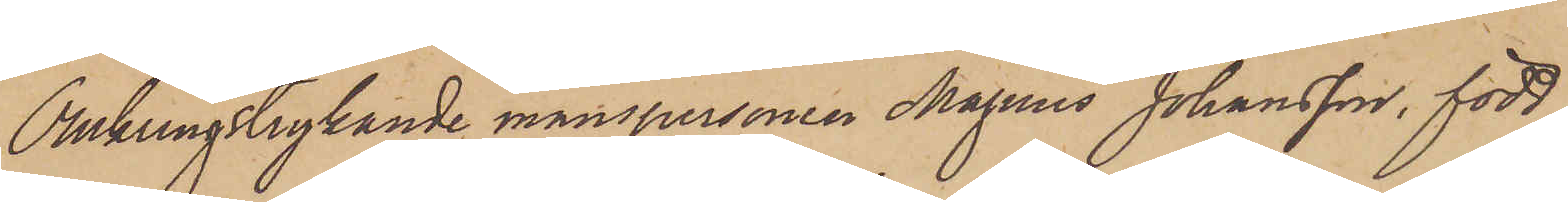Omkringstrykande manspersonen Magnus Johansson, född
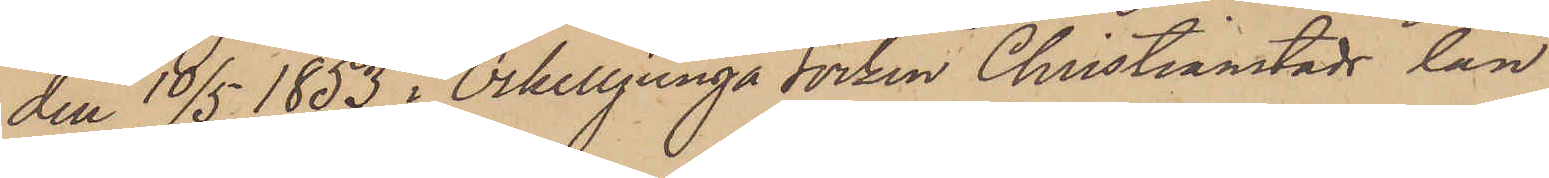den 10/5 1853 i Örkelljunga socken Christianstads län
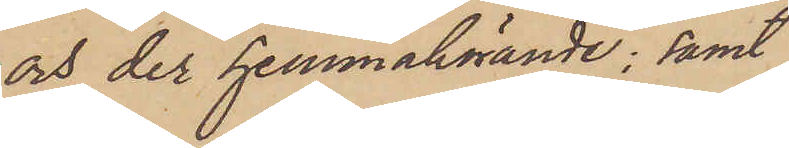och der hemmahörande; samt
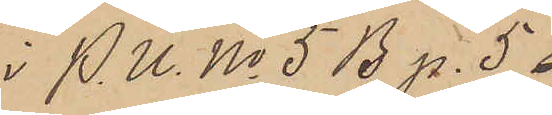i P. U. No 5 B p. 5
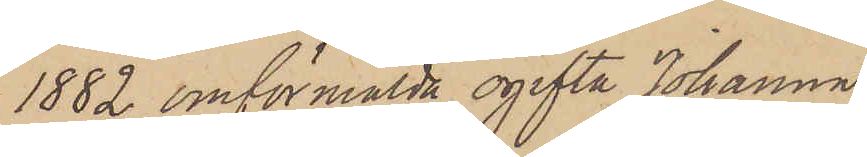1882 omförmälda ogifta Johanna
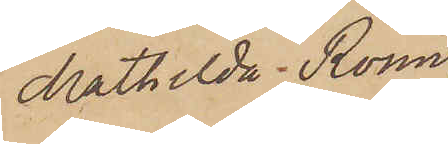Mathilda Rönn
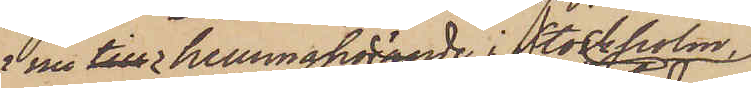nu till hemmahörande i Stockholm,
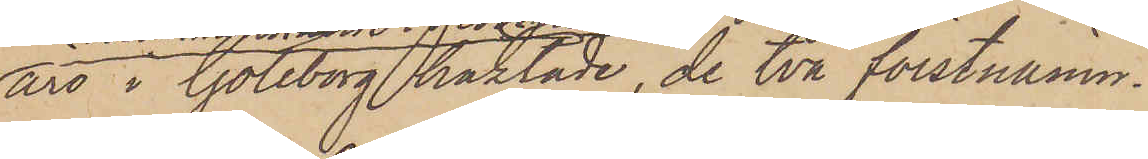äro i Göteborg häktade, de två förstnämn¬
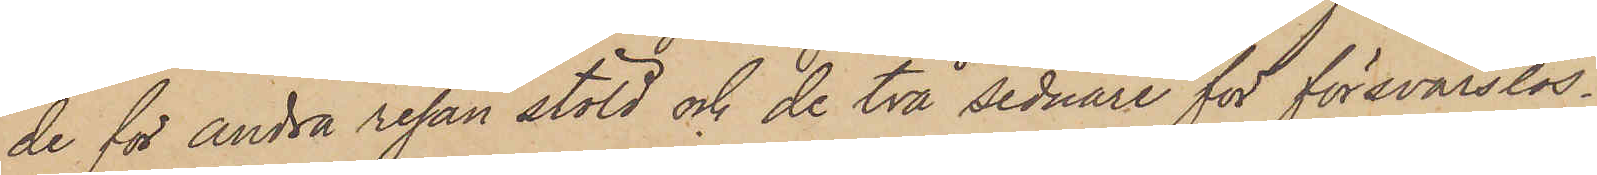de för andra resan stöld och de två sednare för försvarslös¬
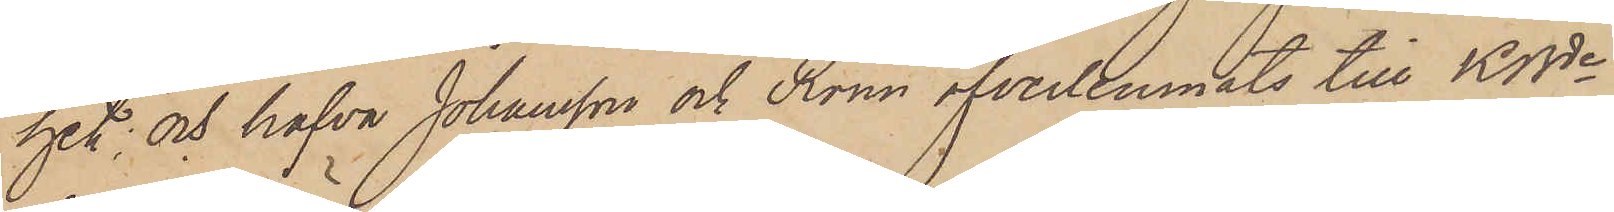het; och hafva Johansson och Rönn öfverlemnats till KBde
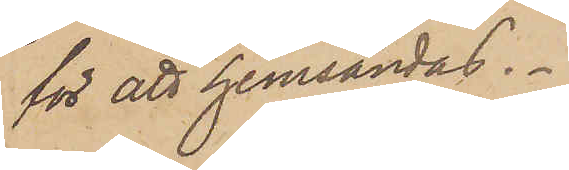för att hemsändas.
